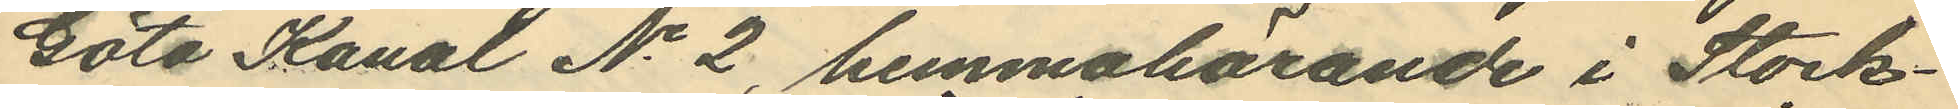Göta Kanal No 2, hemmahörande i Stock¬
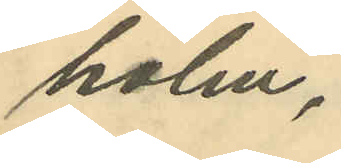holm,
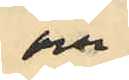och
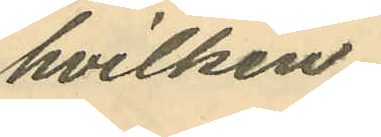hvilken
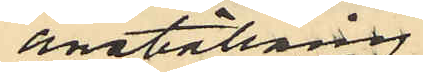anställning
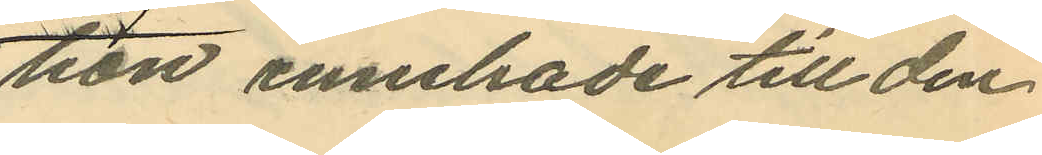hon innehade till den
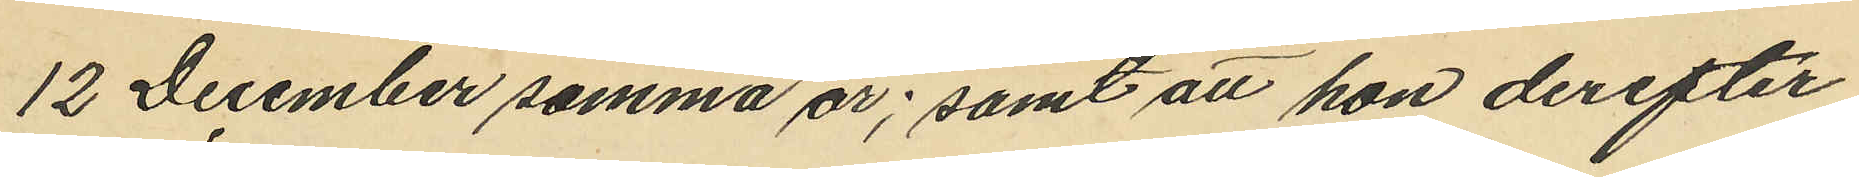12 December samma år; samt att hon derefter
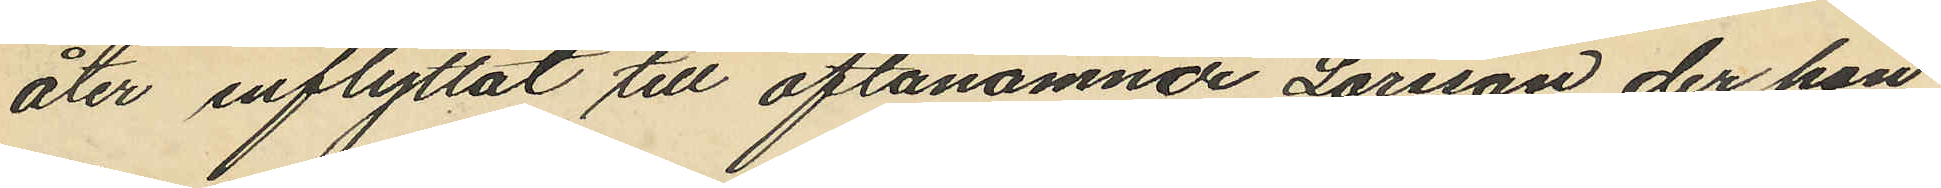åter inflyttat till oftanämnde Larsson der hon
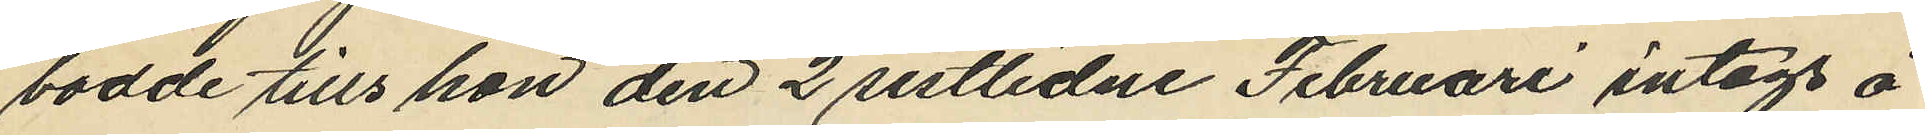bodde tills hon den 2 sistlidne Februari intogs å
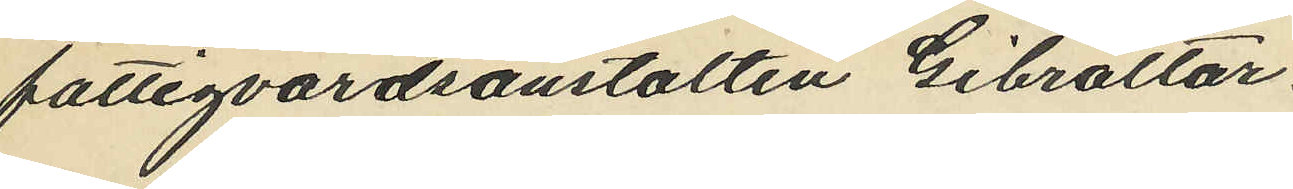fattigvårdsanstalten Gibraltar.
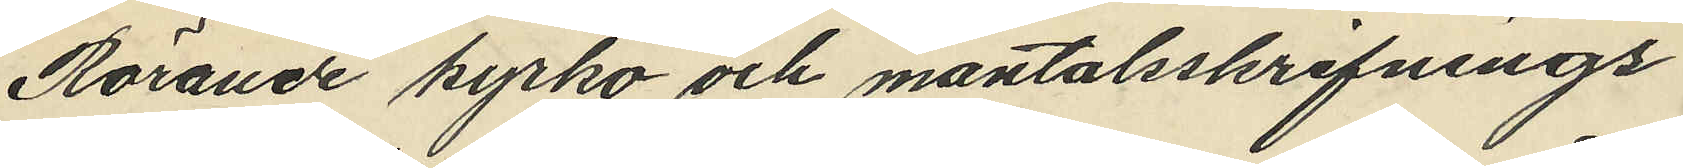Rörande kyrko och mantalsskrifnings
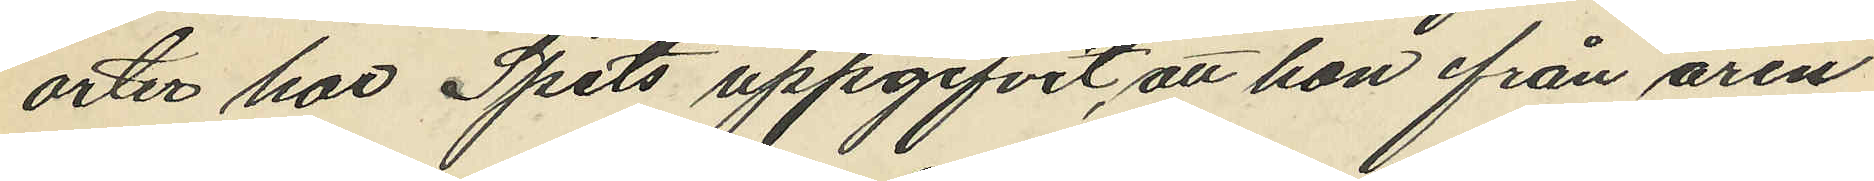orter har Spets uppgifvit, att hon ifrån åren
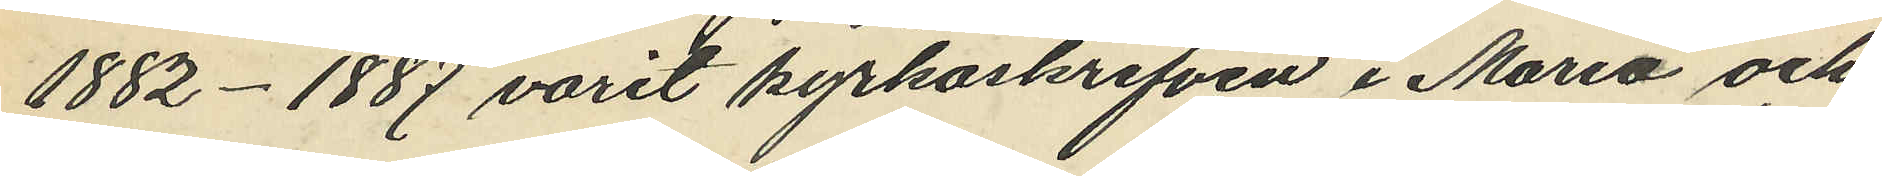1882-1887 varit kyrkoskrifven i Maria och
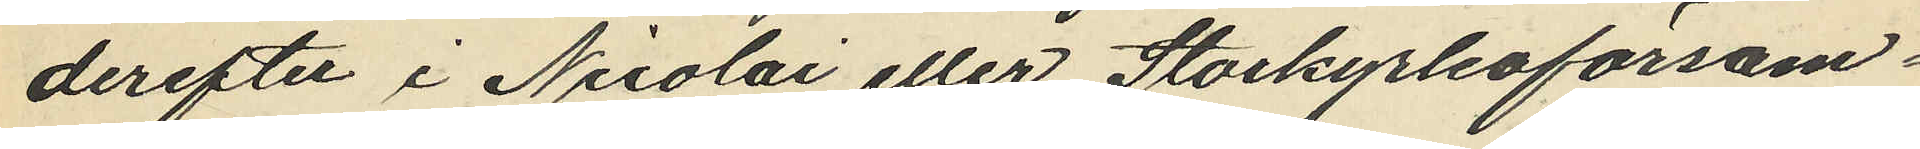derefter i Nicolai eller Storkyrkoförsam¬
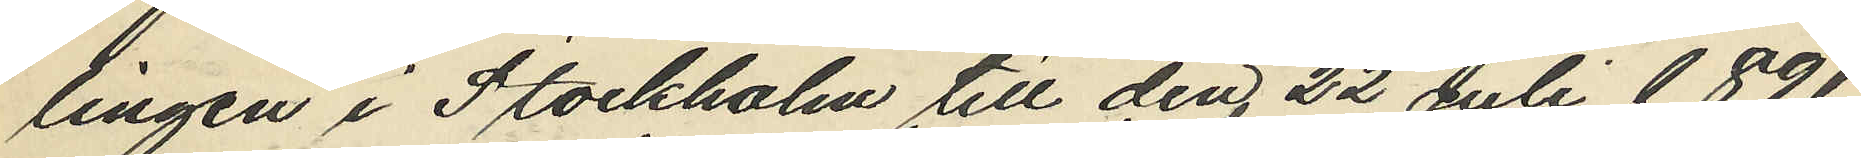lingen i Stockholm till den 22 Juli 1891.
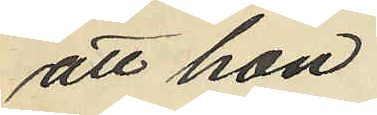att hon
